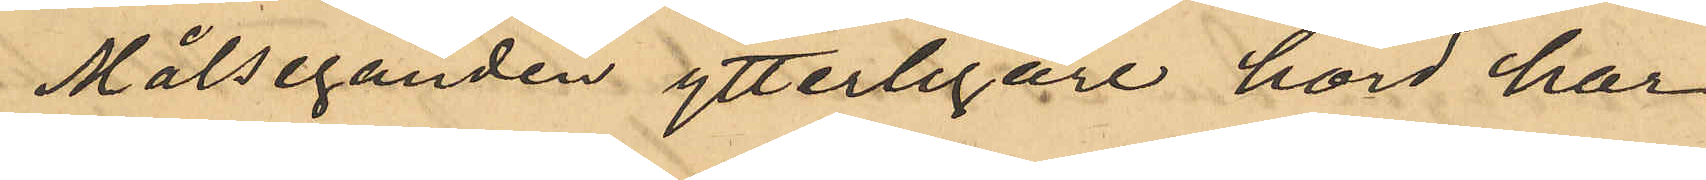Målseganden ytterligare hörd har
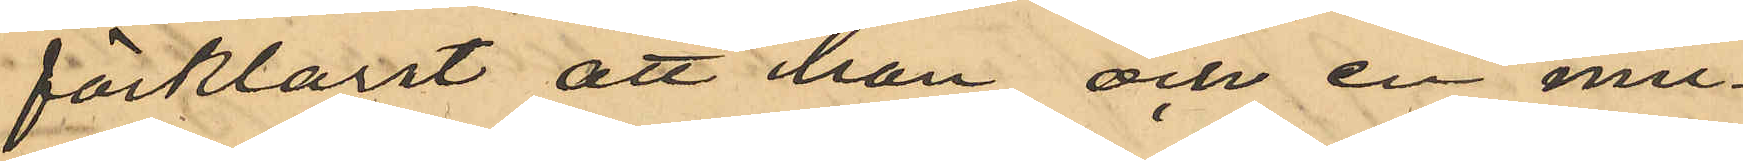förklarat att han och en mu¬
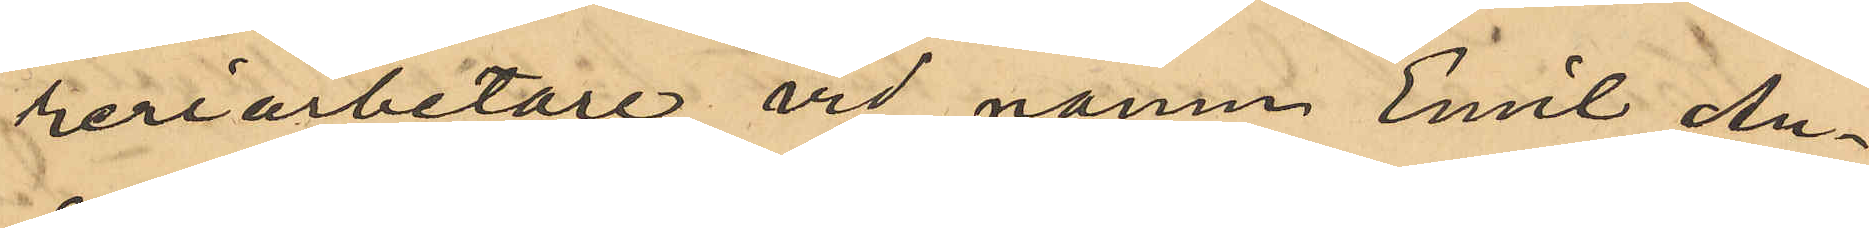reriarbetare vid namn Emil An¬
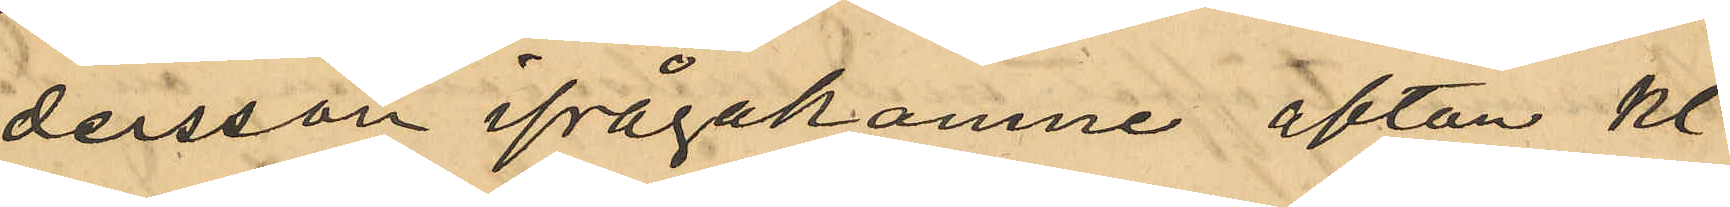dersson ifrågakomne afton Kl
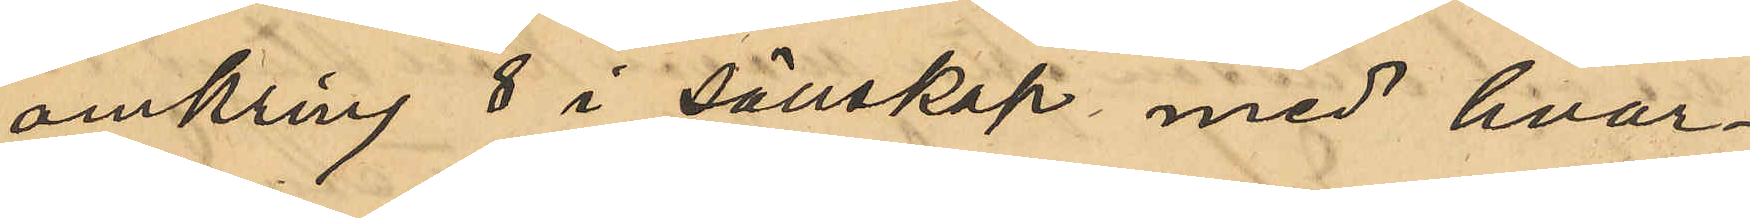omkring 8 i sällskap med hvar¬
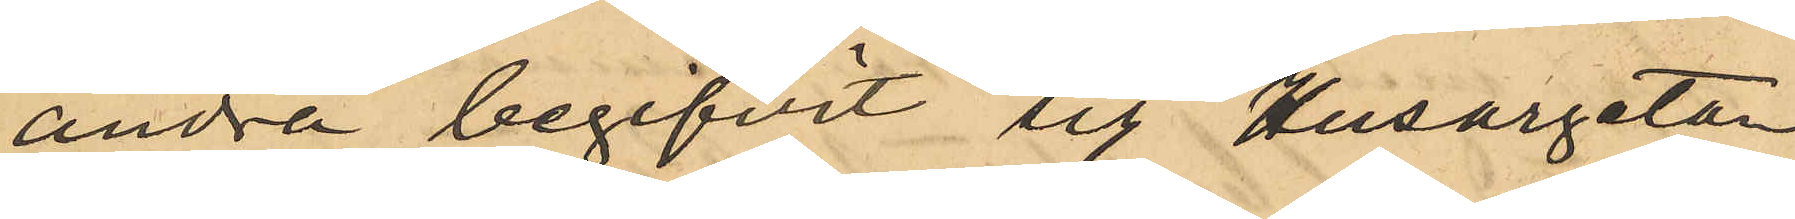andra begifvit sig till Husargatan
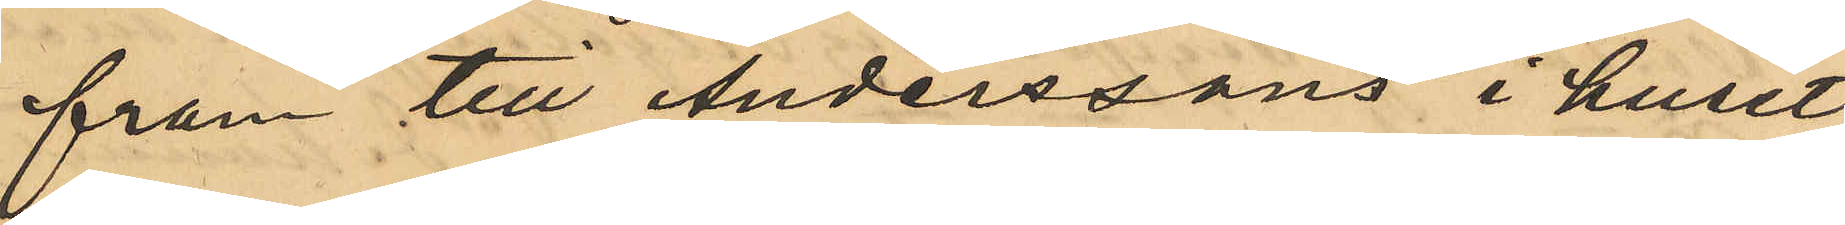fram till Anderssons i huset
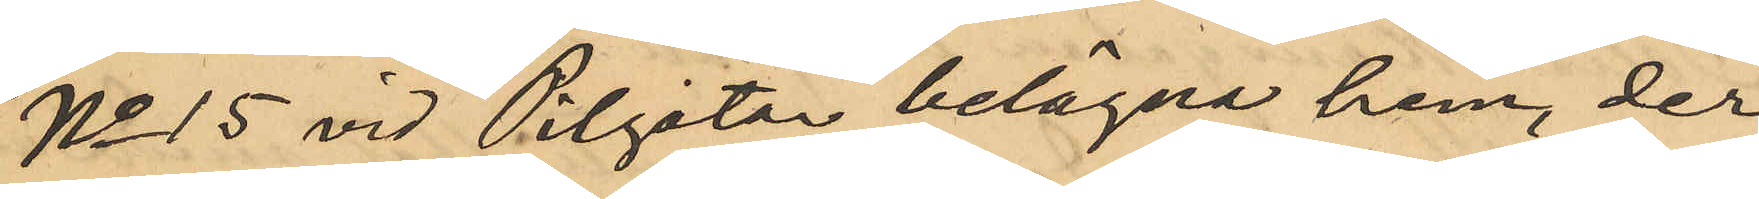No 15 vid Pilgatan belägna hem, der
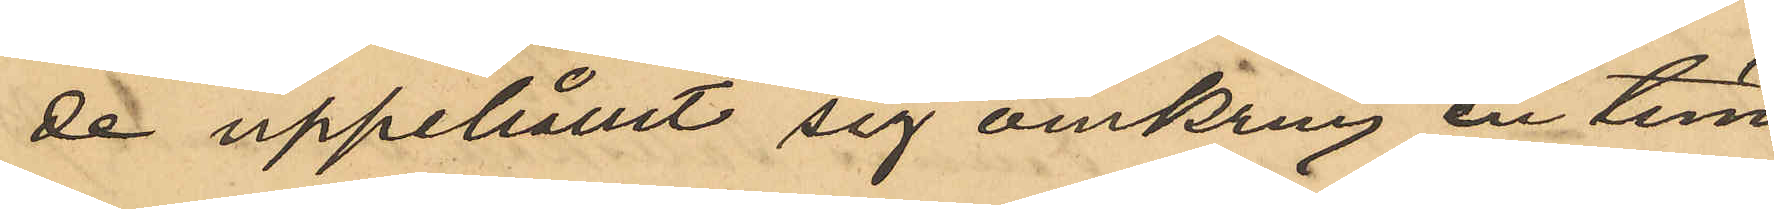de uppehållit sig omkring en tim¬
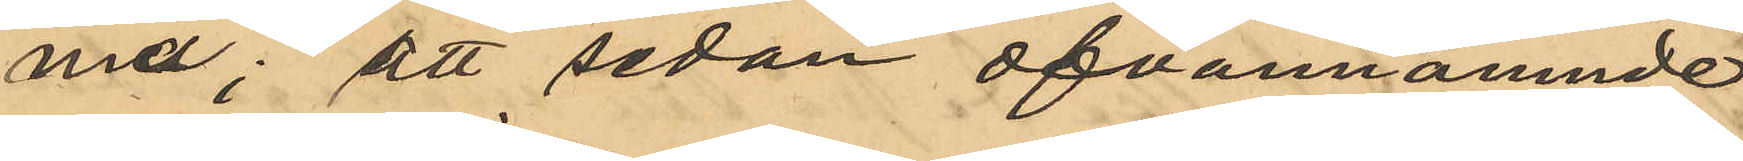me; att sedan ofvannämnde
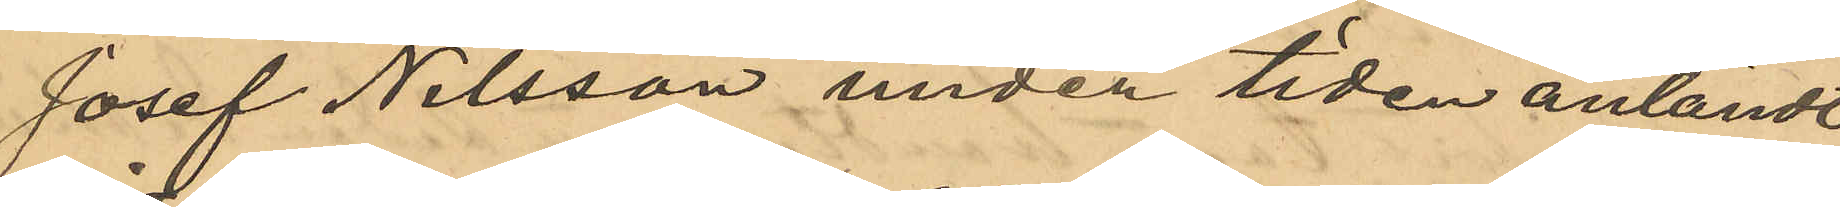Josef Nilsson under tiden anländt
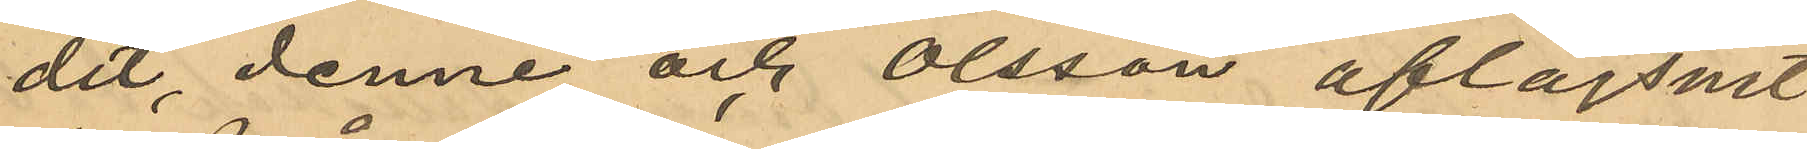dit, denne och Olsson aflägsnat
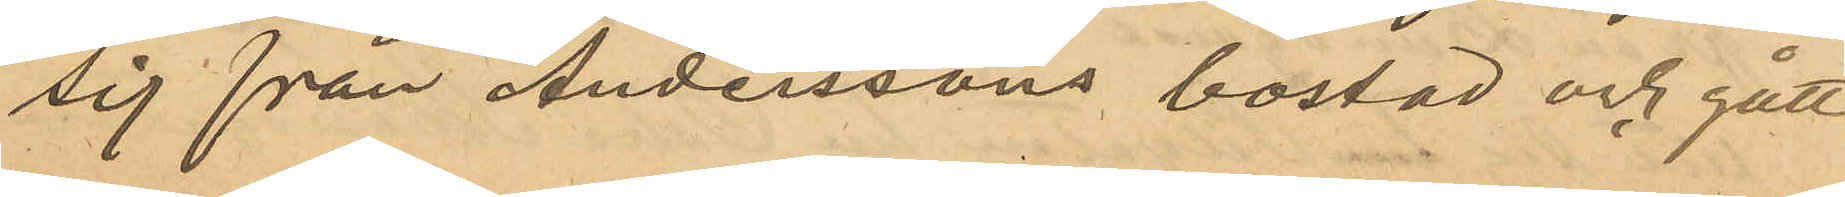sig från Anderssons bostad och gått
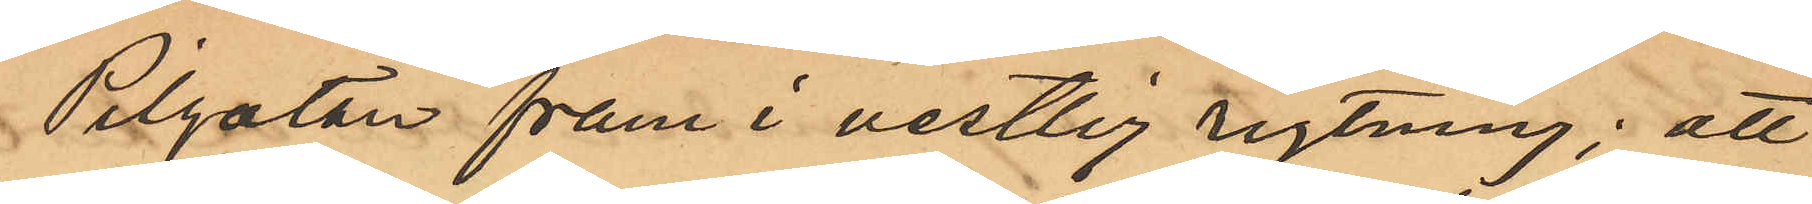Pilgatan fram i vestlig rigtning; att
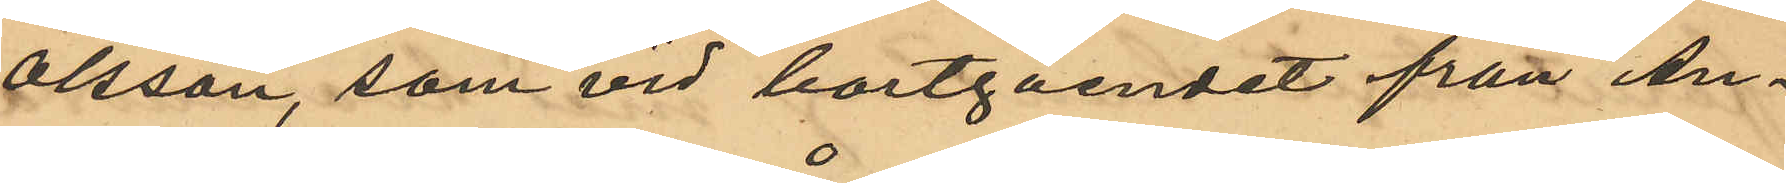Olsson, som vid bortgåendet från An¬
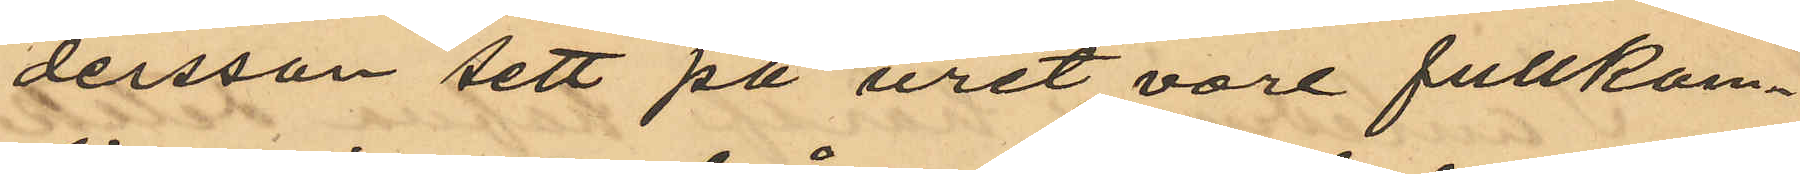dersson sett på uret, vore fullkom¬
